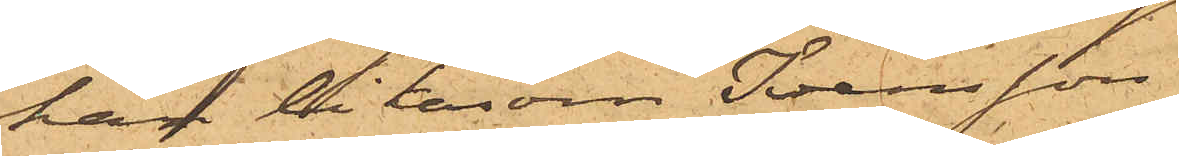han liksom Svensson
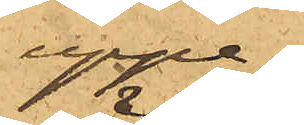uppe¬
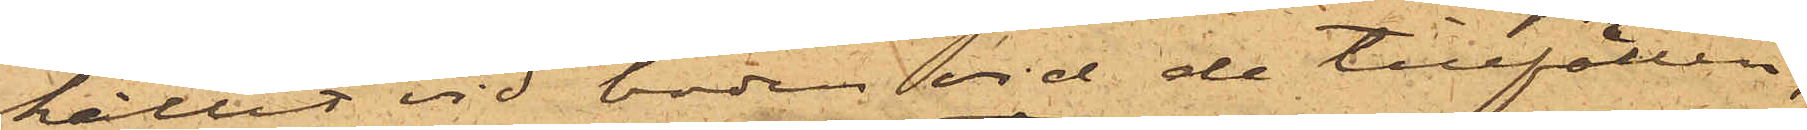hållit vid boden vid de tillfällen,
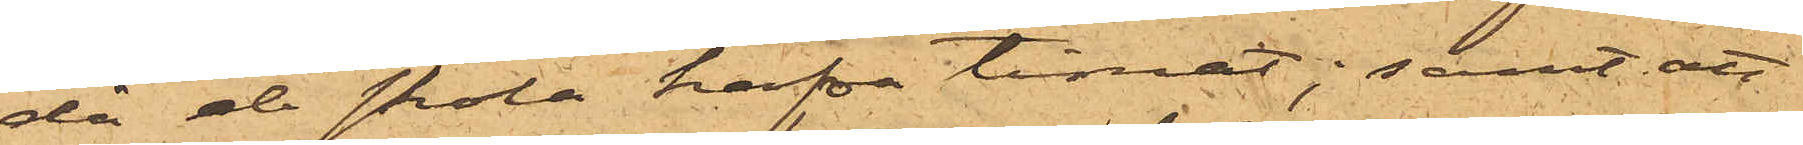då de skola hafva timat; samt att
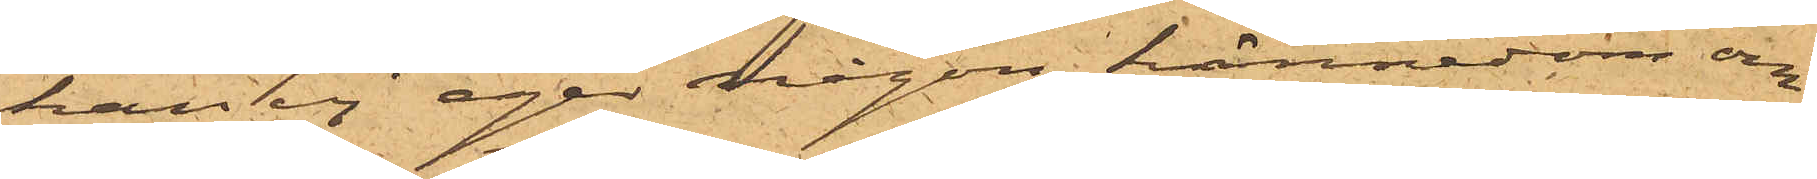han ej eger någon kännedom om
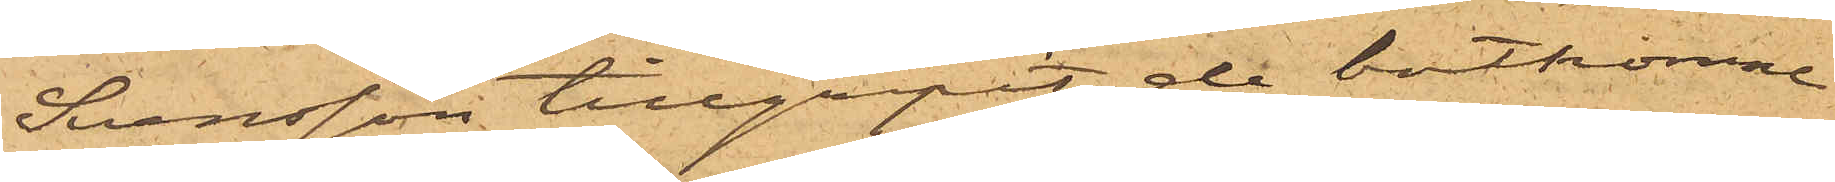Svensson tillgripit de bortkomne
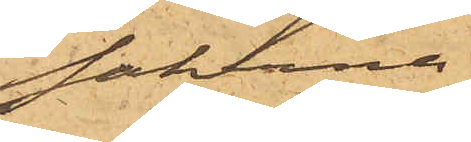sakerne.
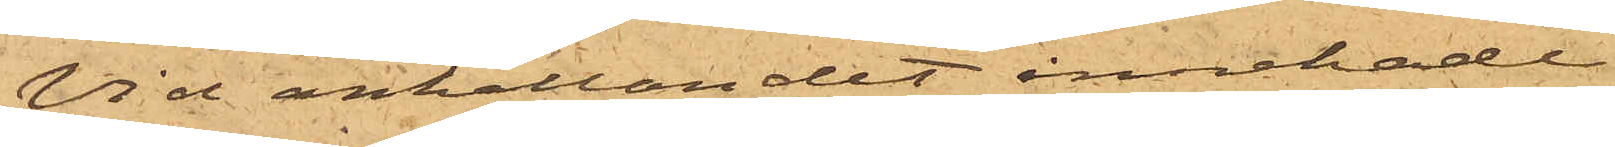Vid anhållandet innehade
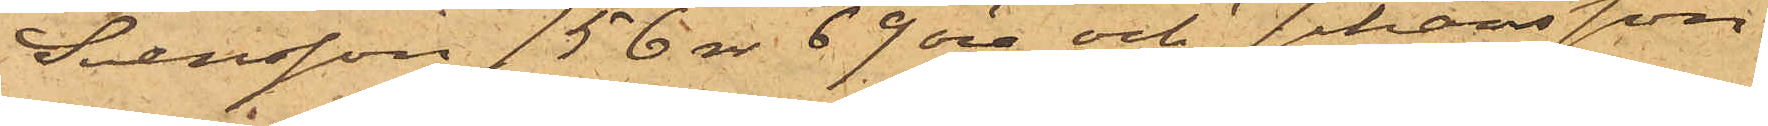Svensson 156 rdr 69 öre och Johansson
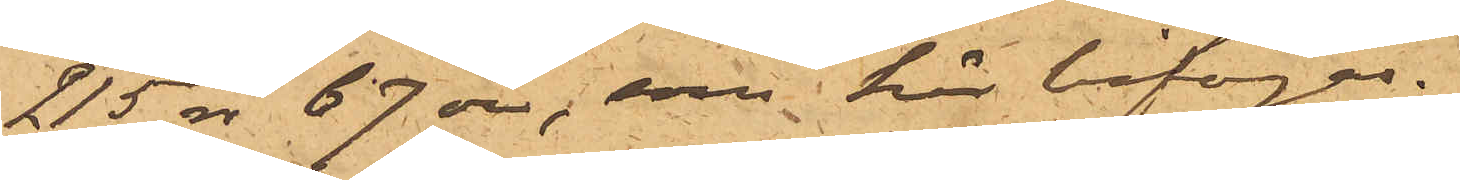215 rdr 67 öre, som här bifogas.
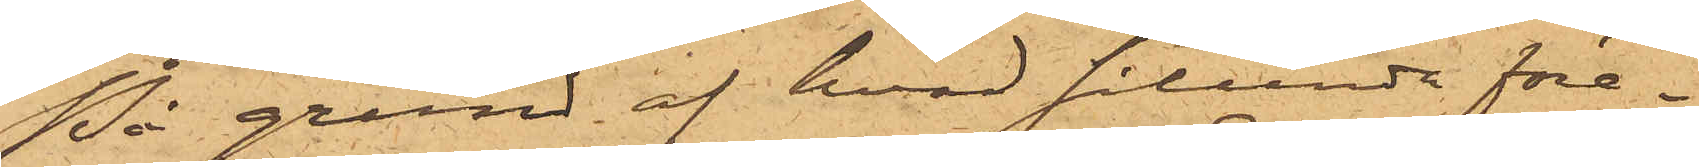På grund af hvad sålunda före¬
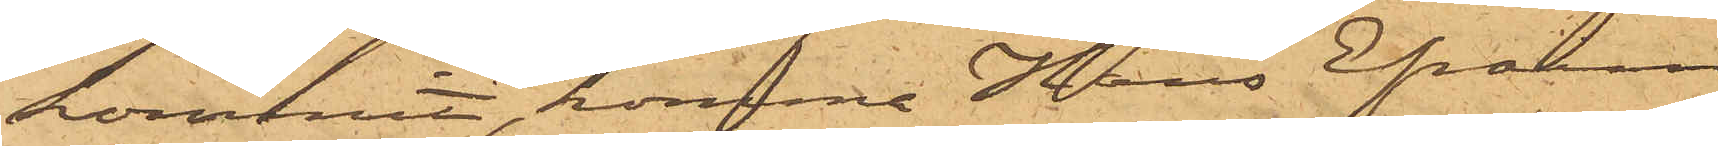kommit, kommer Hans Efraim
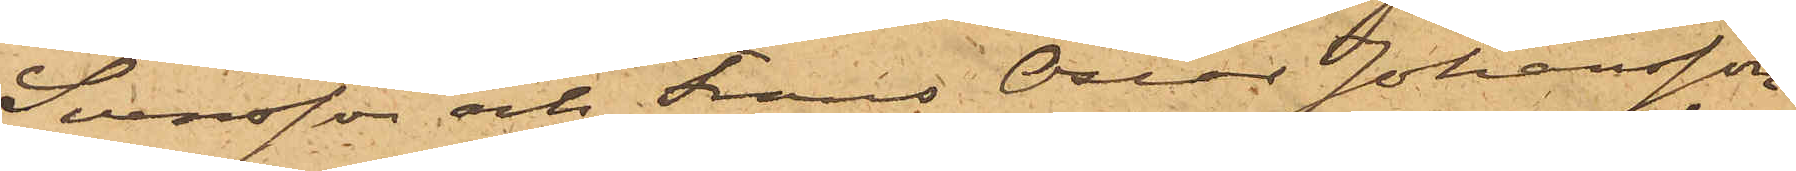Svensson och Frans Oscar Johansson
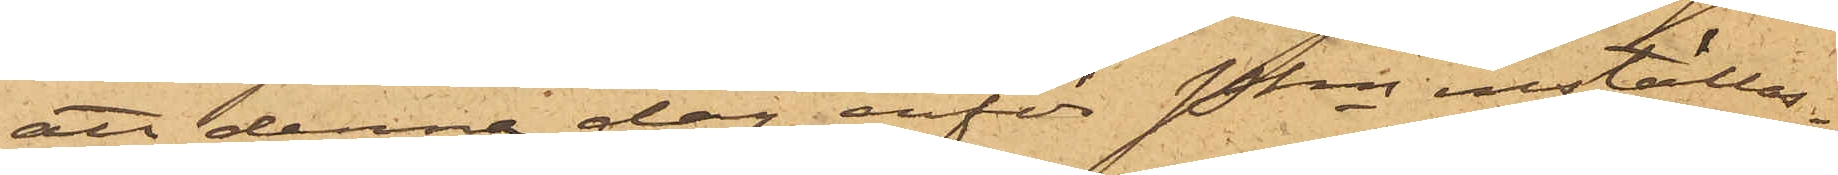att denna dag inför Pkn inställas.
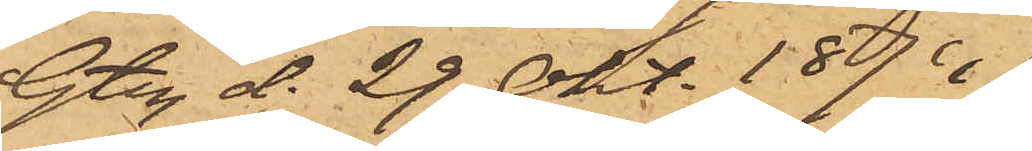Gtbg d. 29 Okt. 1874.
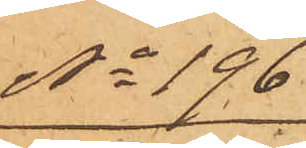No 196
